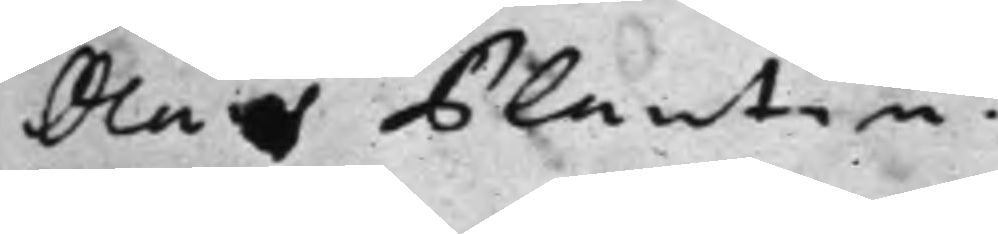Olof Plantin.
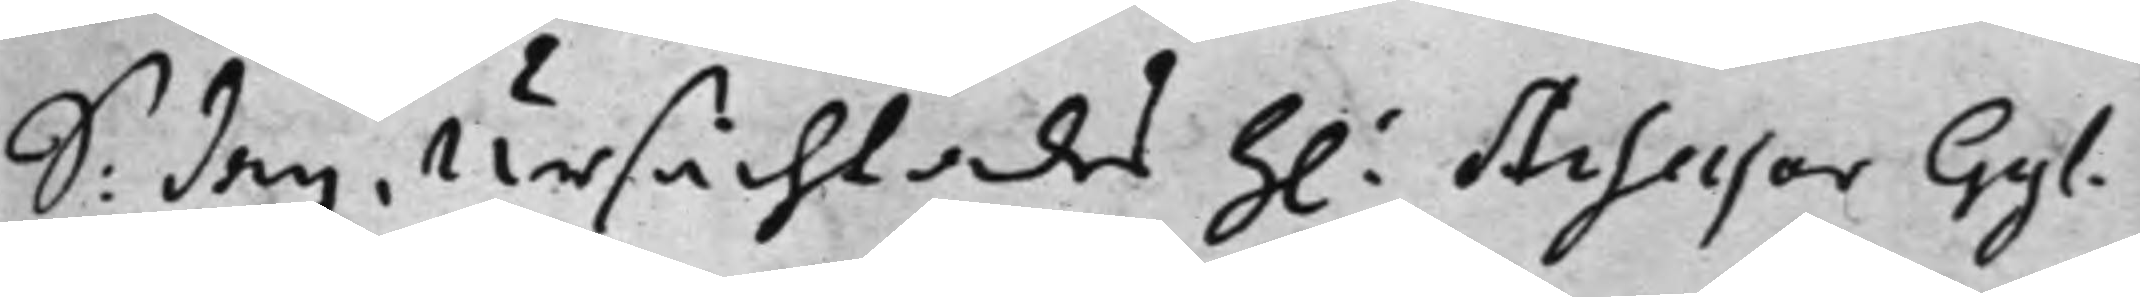S: dag Ursächtades h: Assessor Gyl¬
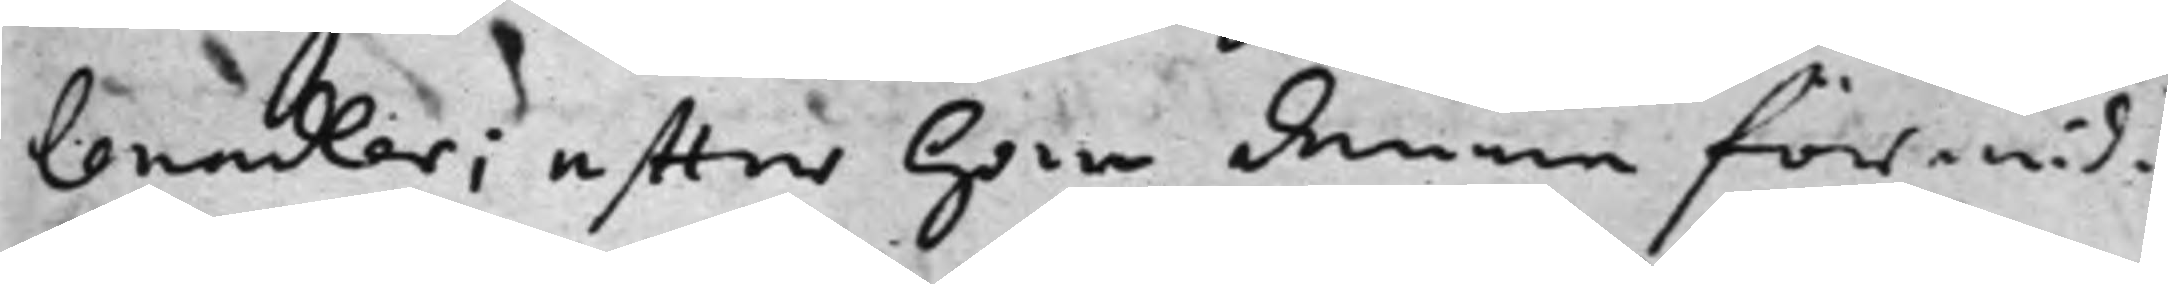lenadler; efter han denna förmid¬
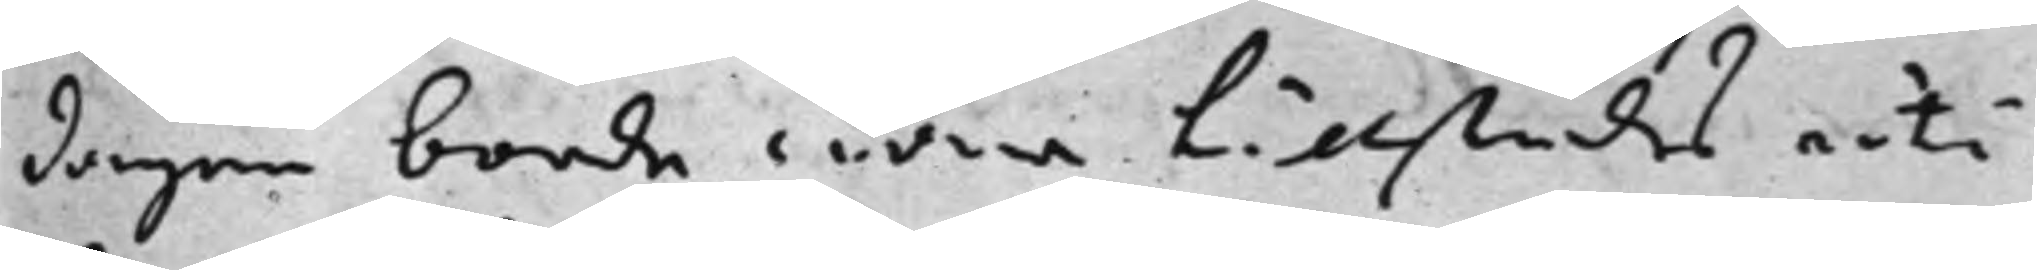dagen borde wara tillstädes uti
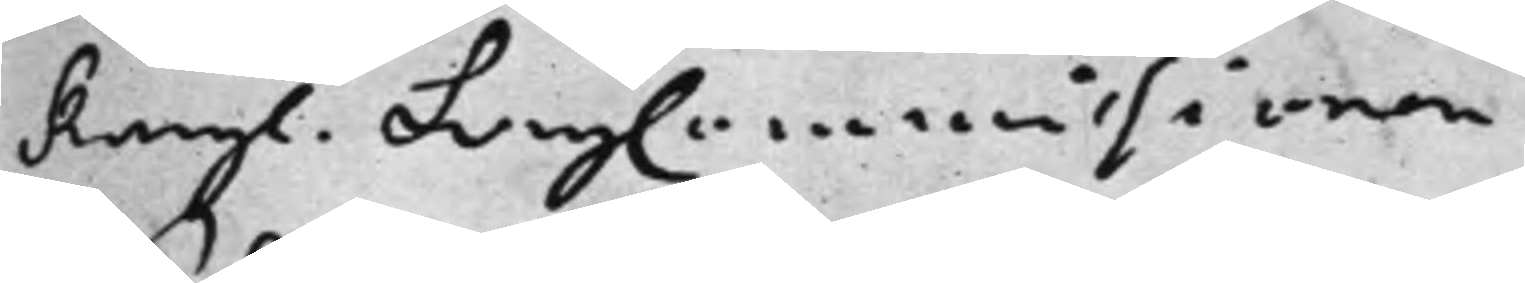Kongl. LagCommissionen
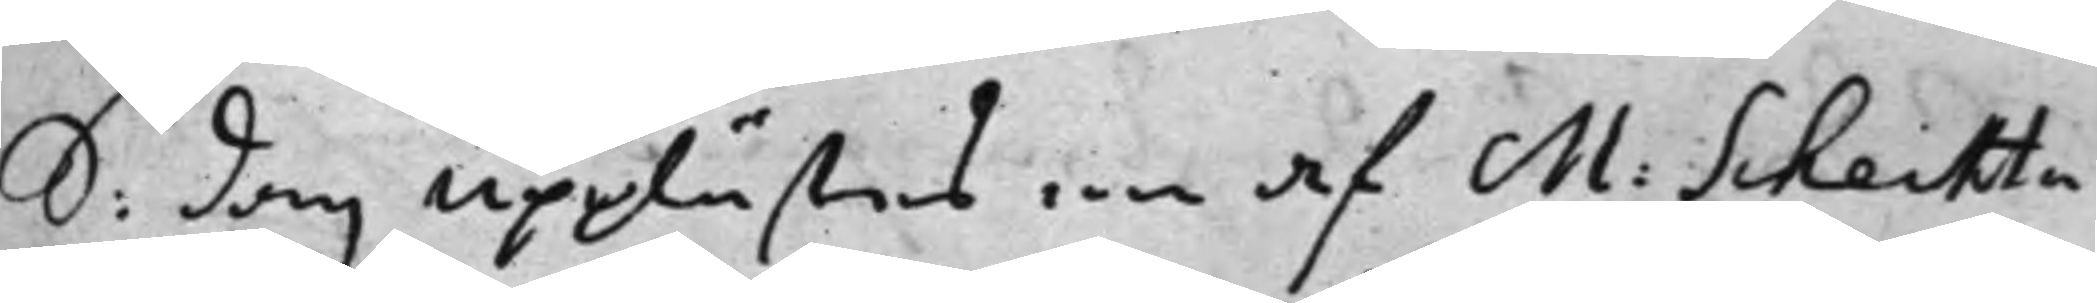S: dag upplästes en af M: Schechta
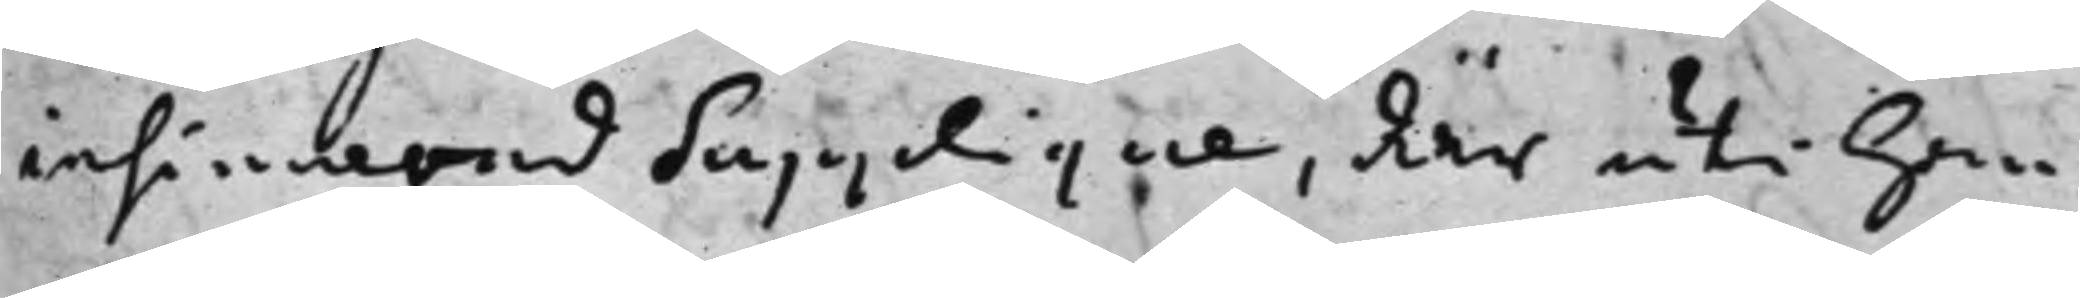insinnerad supplique, där uti han
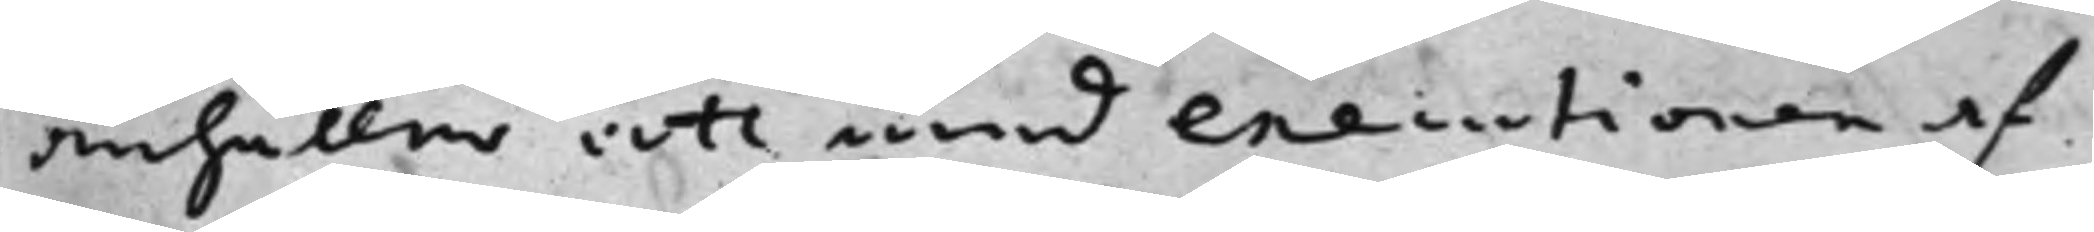anhåller att med executionen af
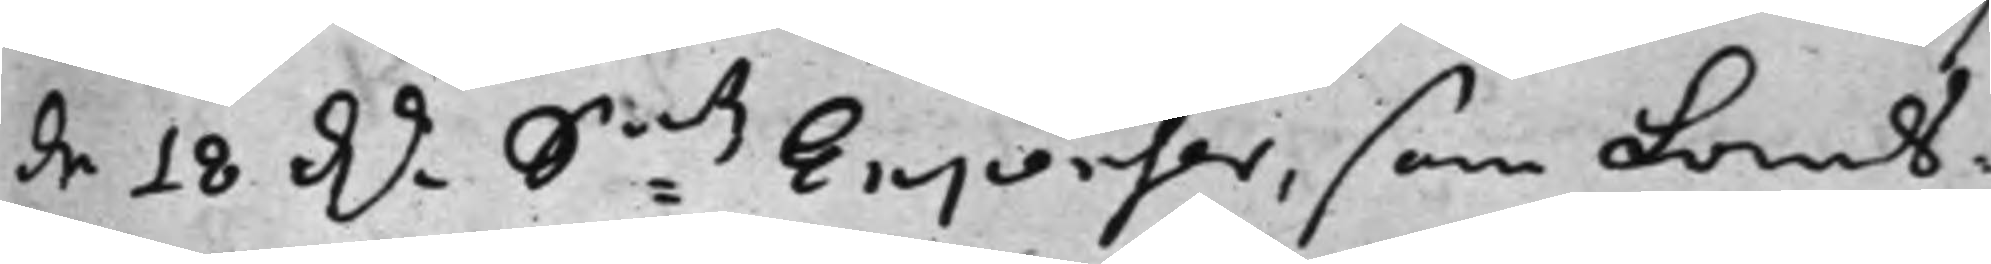de 18 Dr. Smtz Expenser, som Lands¬
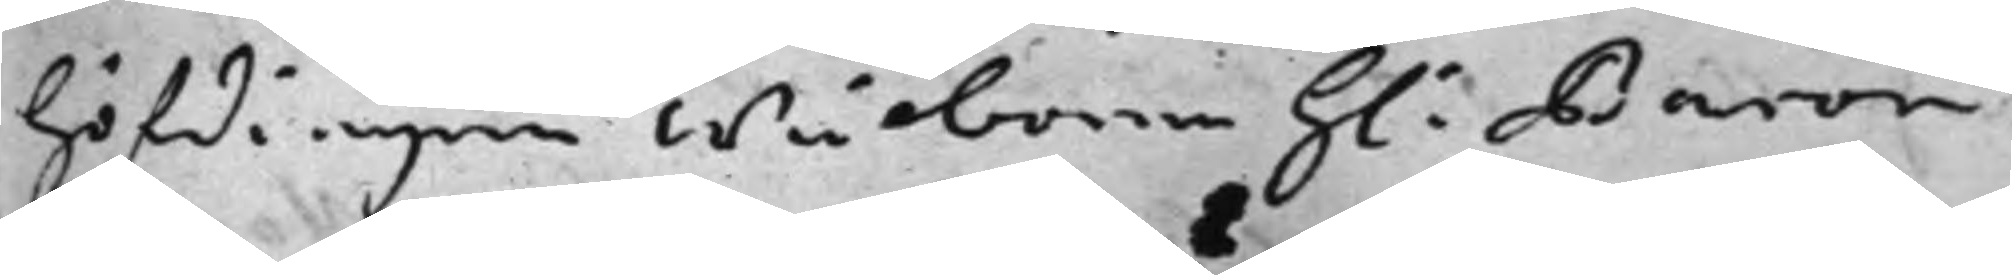höfdingen wälborne h: Baron
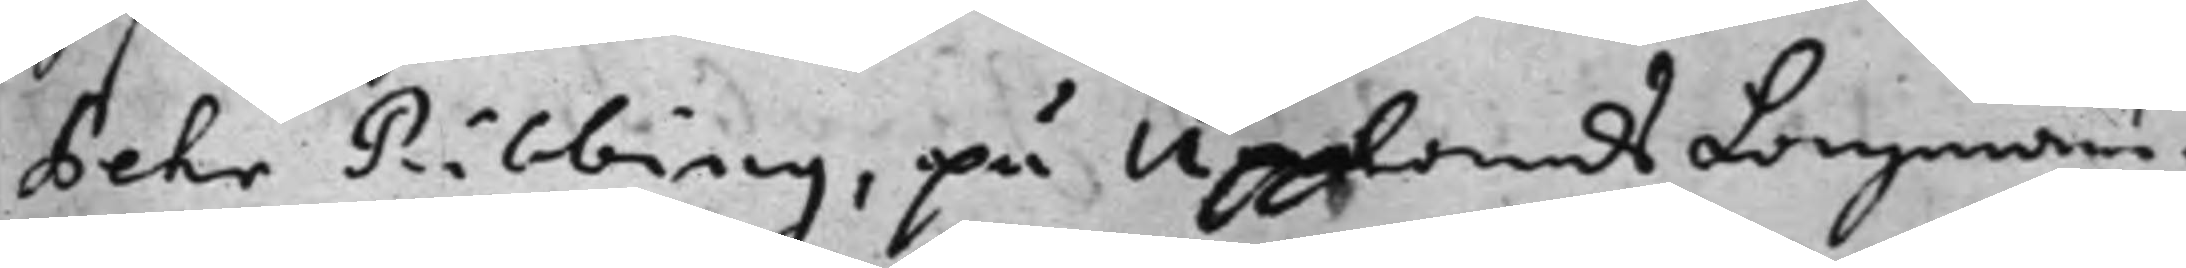Pehr Ribbing, på Upplands Lagmans¬
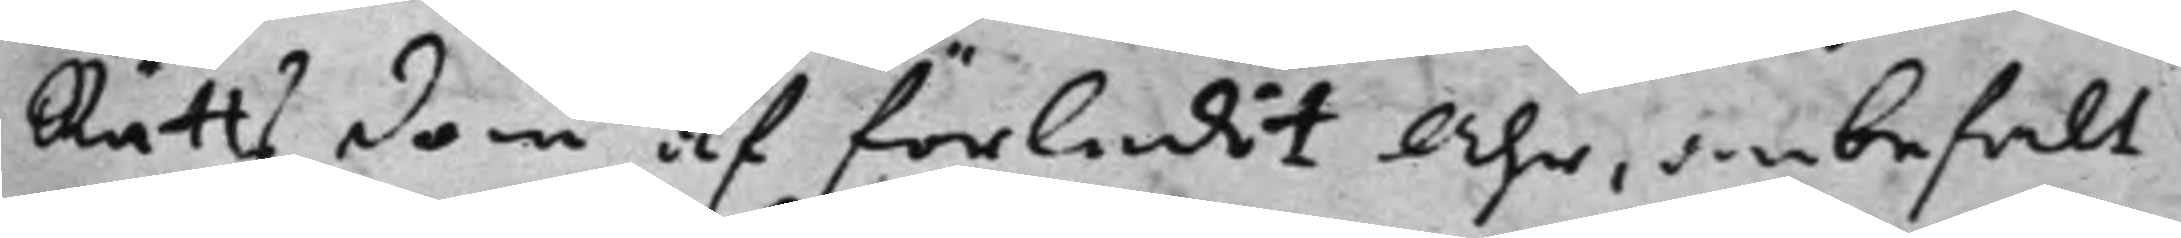Rätts dom af förledit Åhr, anbefalt
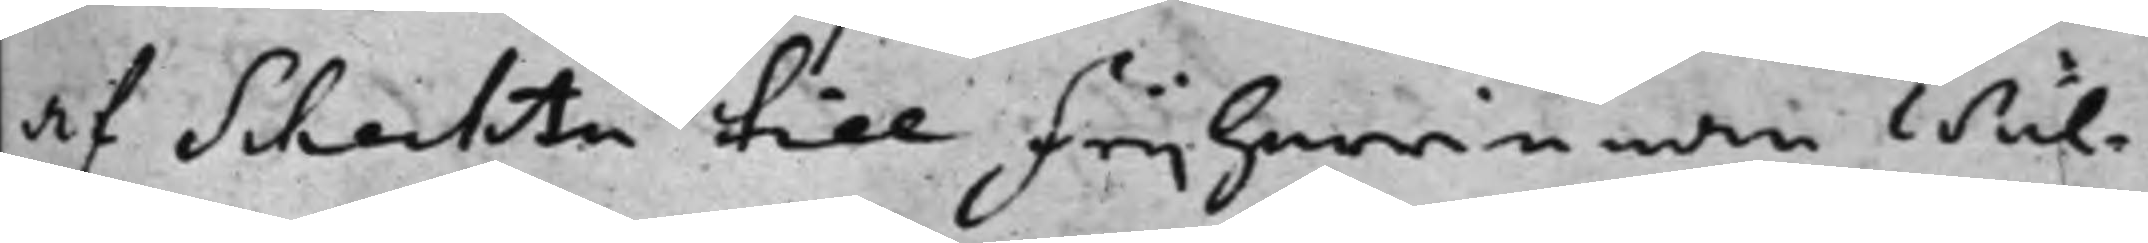af Schechta till frijherrinnan wäl¬
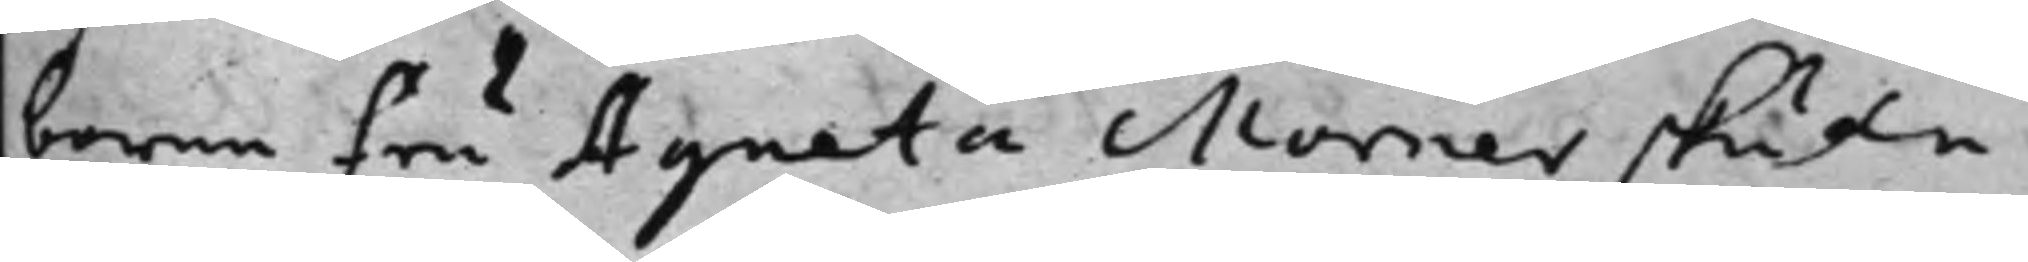borne fru Agneta Mörner skulle
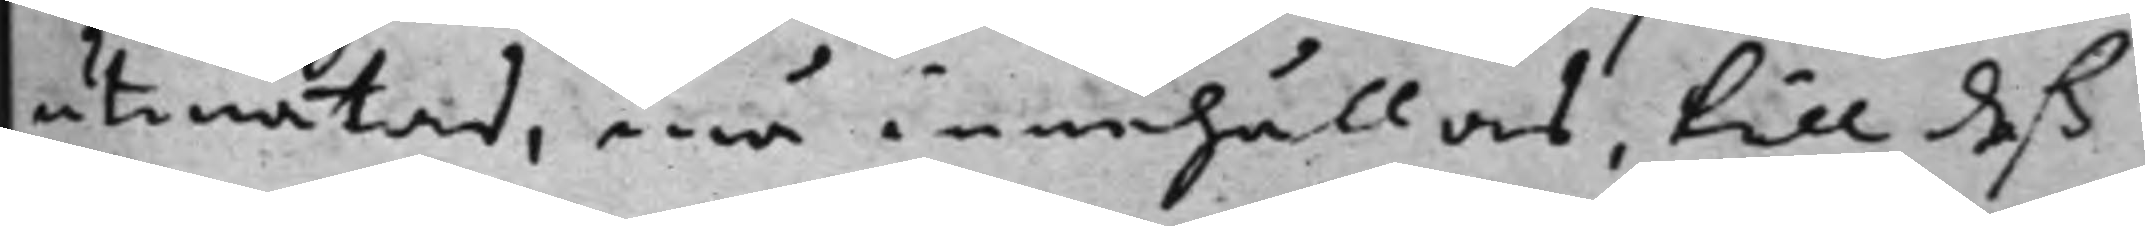utmätas, må innehållas, till deß
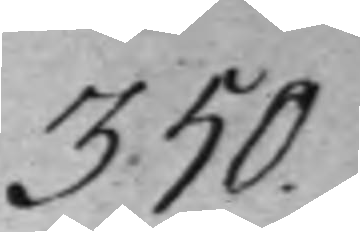350.
